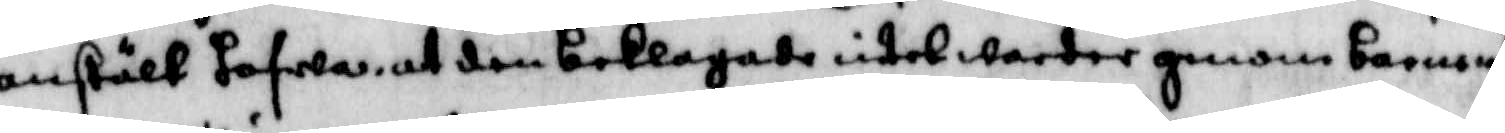anstält hafwa at den beklagade intet warder genom barnens
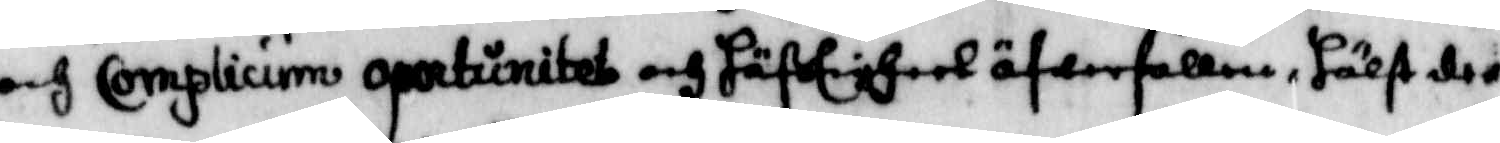och Complicium oportunitet och häftigheet öfwerfallen, hälst der
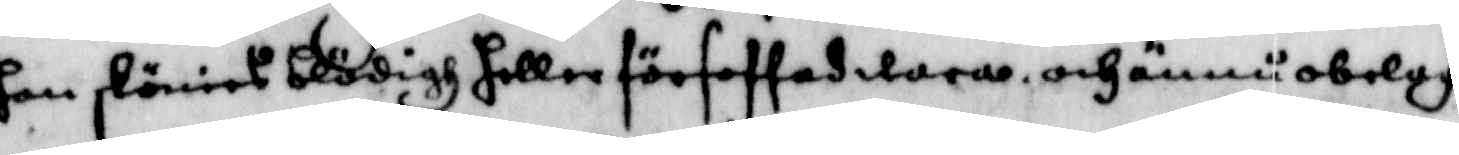han skönies blödigh heller författad wara, och ännu obelagd
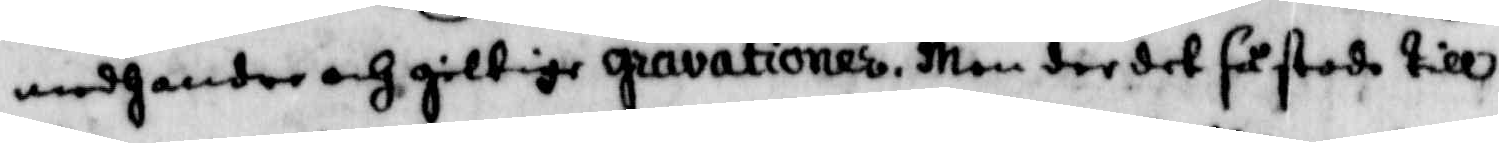medh andre och giltige gravatioens, Men der det så stodo till
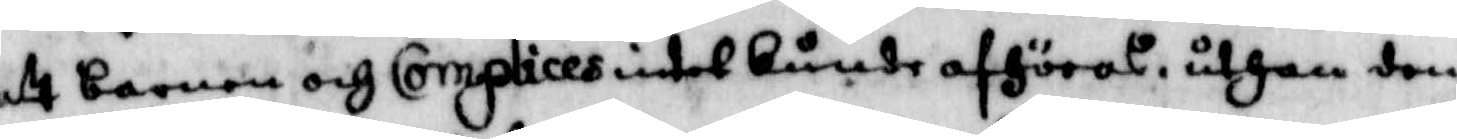att barnen och Complices intet kunde afhöras uthan den
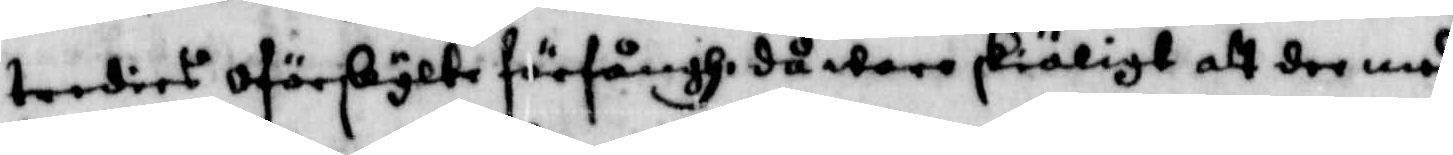tredies oförkylte förfångh, då ware skäligt att der med
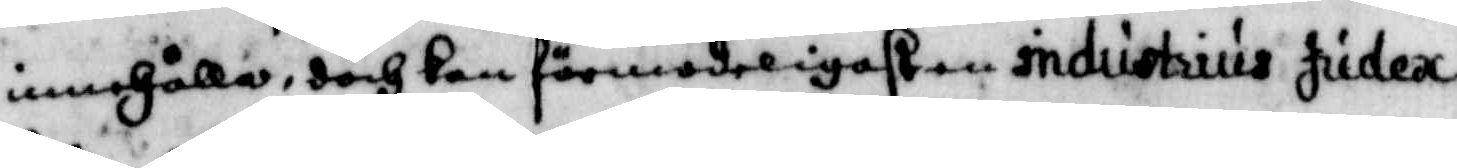innhålla, doch kan förmoderöigasten industrius judeac
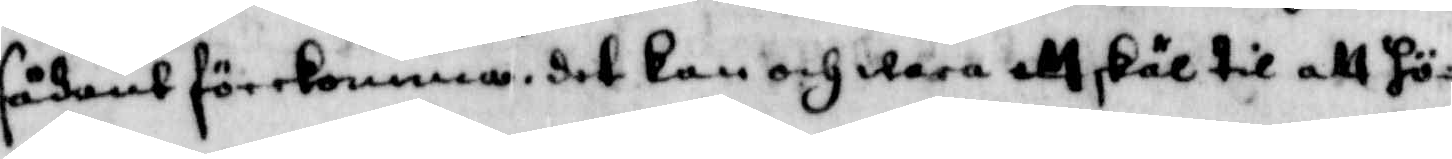sådant förekomma, det kan och wara ett skäl til att hö¬
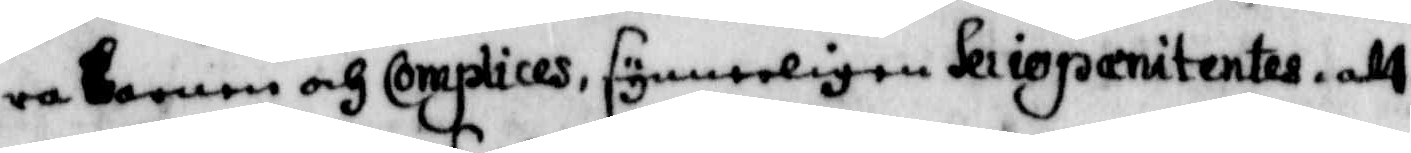ra barnen och complices, synnerligen Seriopanitentes, att
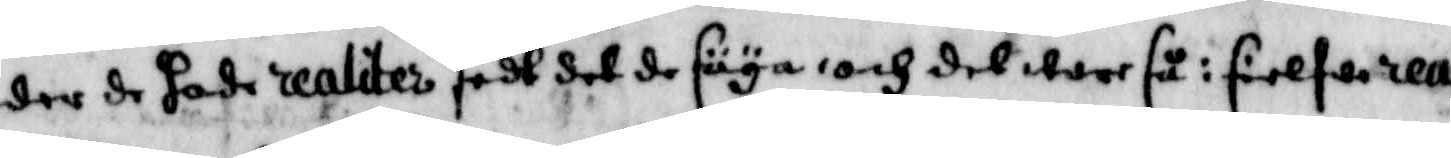der de hade realiter sedt det de säya, och det ware så i sielfwa rea¬
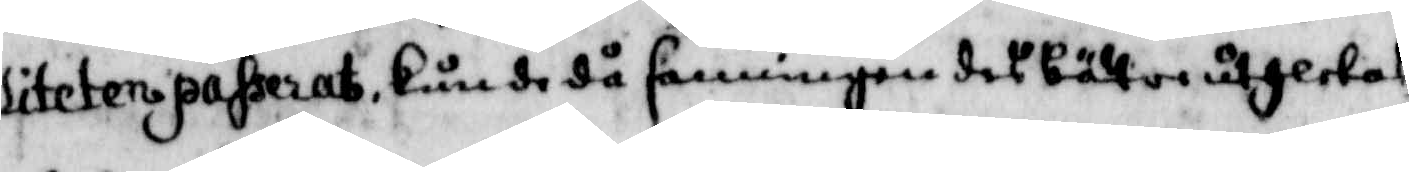liteten passerat, kunde då sanningen des bättre uthletas,
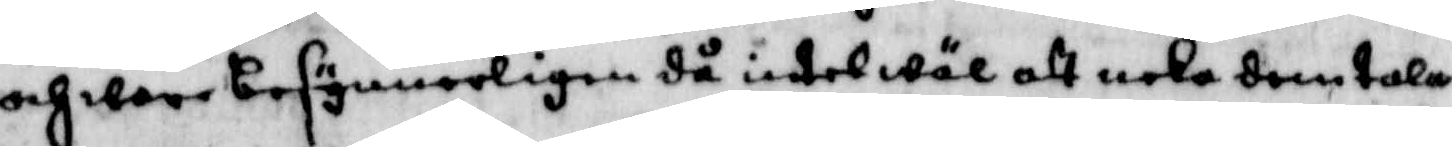och war besynnerligen då intet wäl att neka dem tala
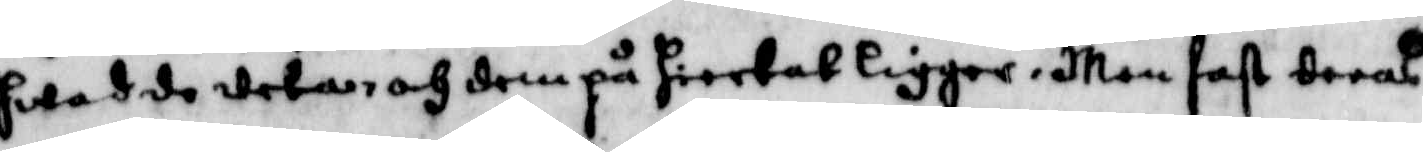hwad de weta, och dem på hiertat ligger. men fast deras
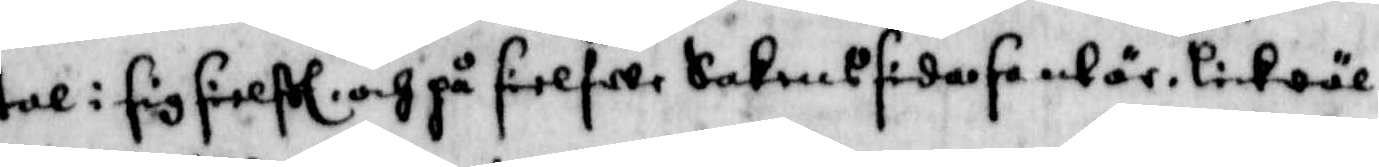tal i sig sielfwe och på sielfwe Sakens sidose och är likwäl
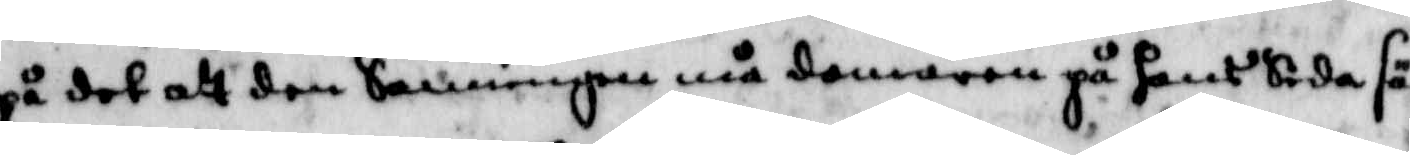på det att den Sanningen må domaren på hans Sida sä¬
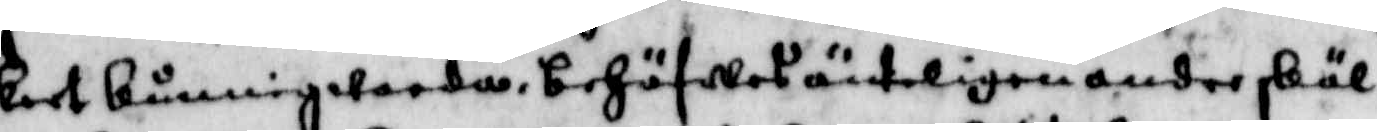kert kunnig warda, behöfwes änteligen andre skäl
